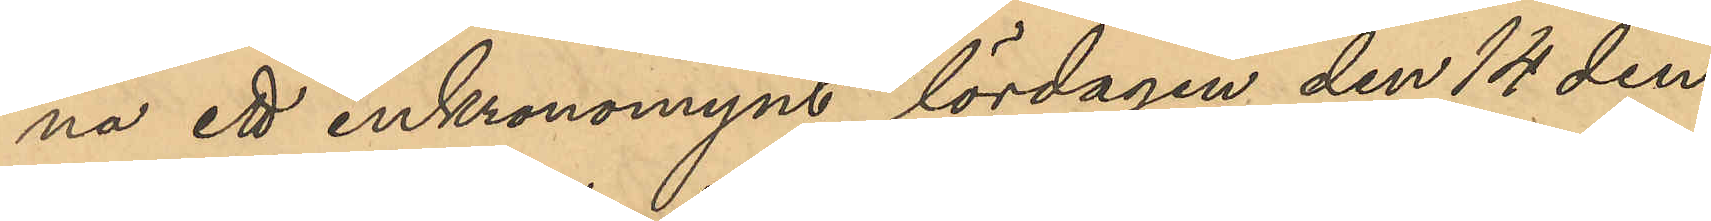na ett enkronomynt, lördagen den 14 den¬
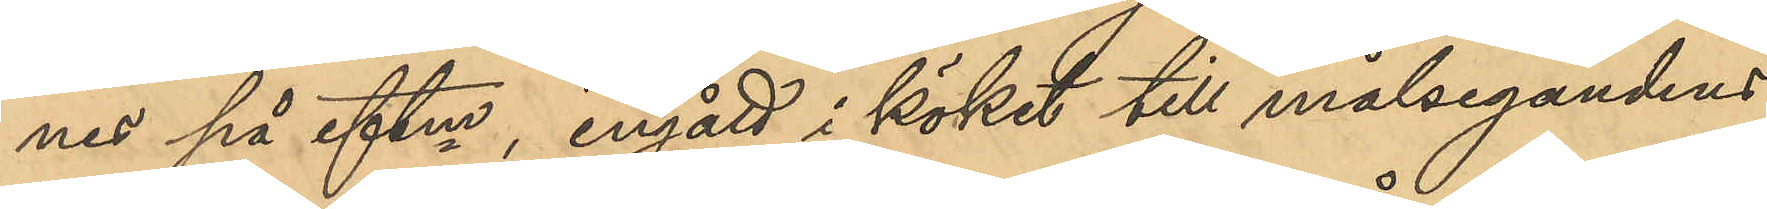nes på eftm, ingått i köket till målsegandens
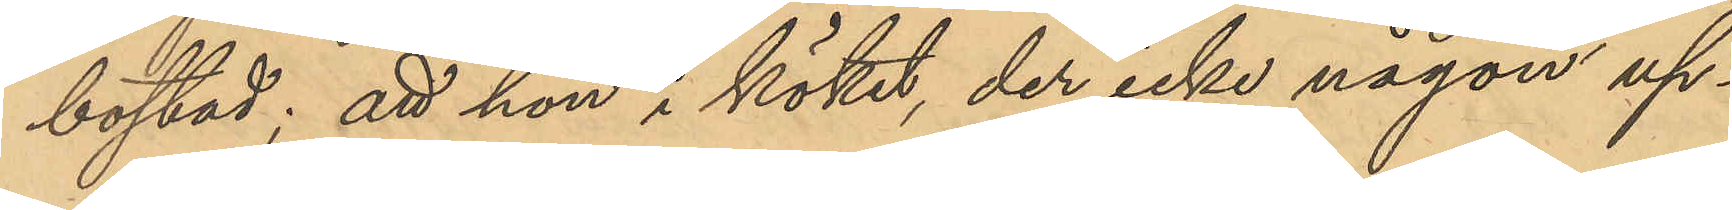bostad; att hon i köket, der icke någon up¬
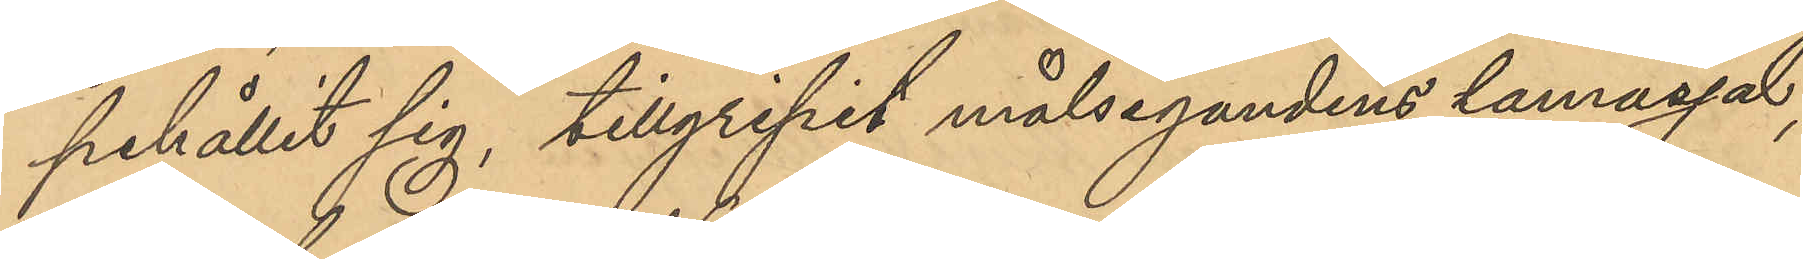pehållit sig, tillgripit målsegandens lamasjal,
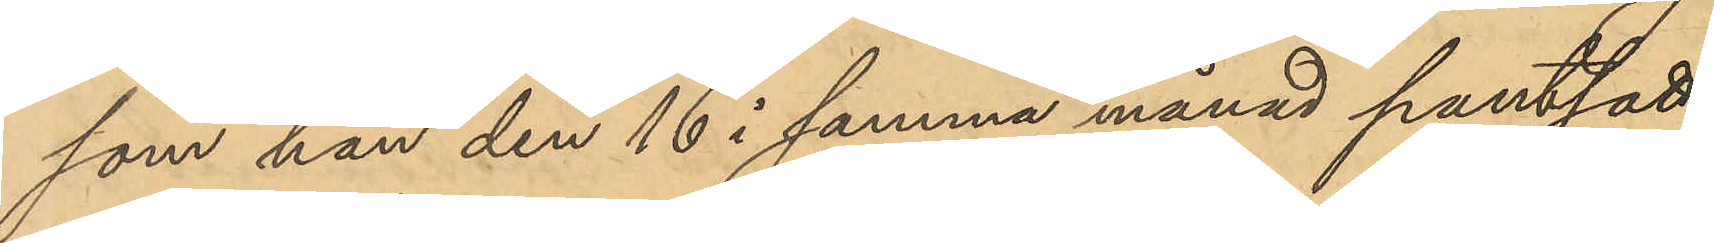som hon den 16 i samma månad pantsatt
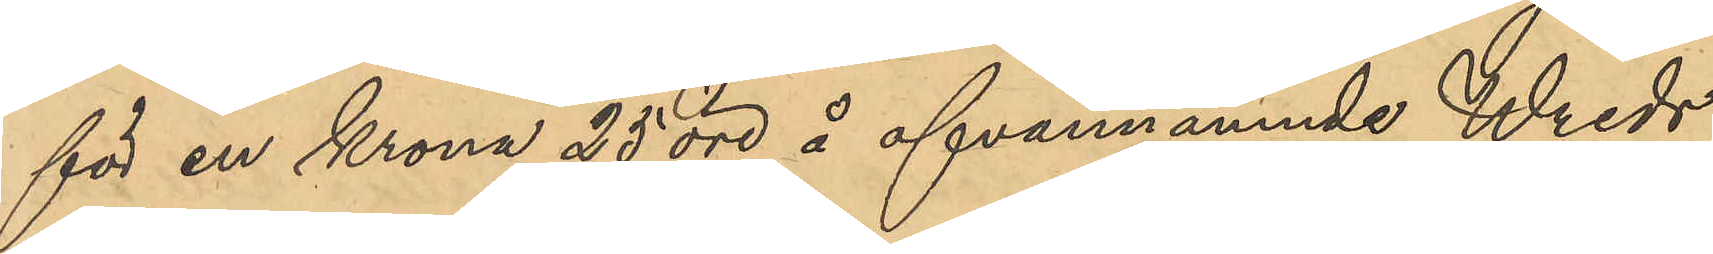för en Krona 25 öre å ofvannämnde Wreds
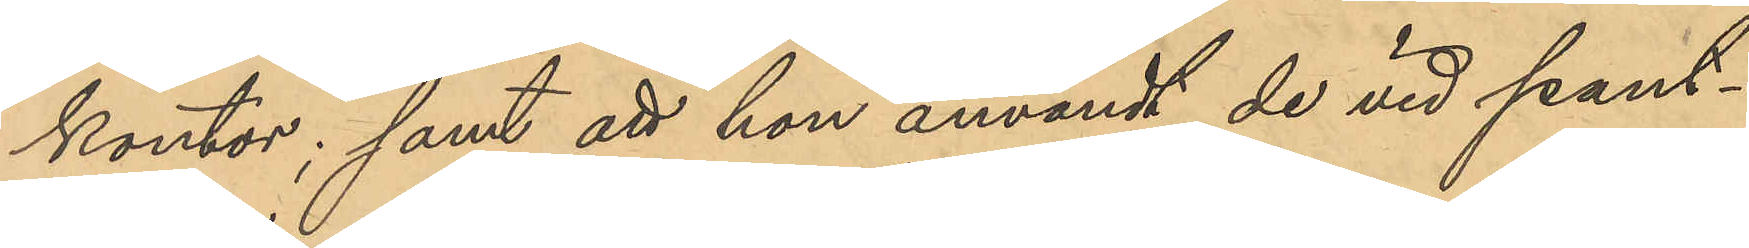kontor; samt att hon användt de vid pant¬
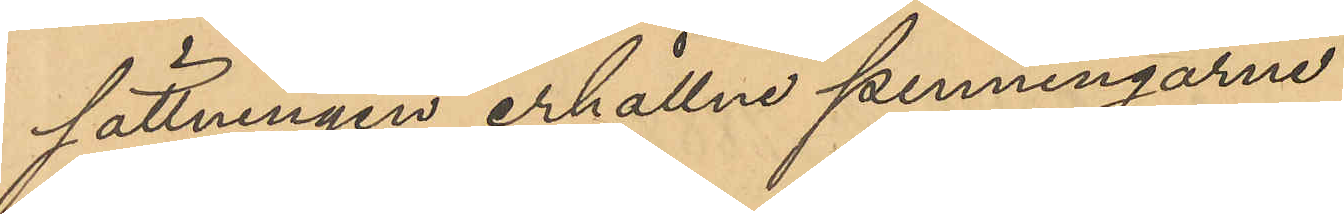sättningen erhållne penningarne.
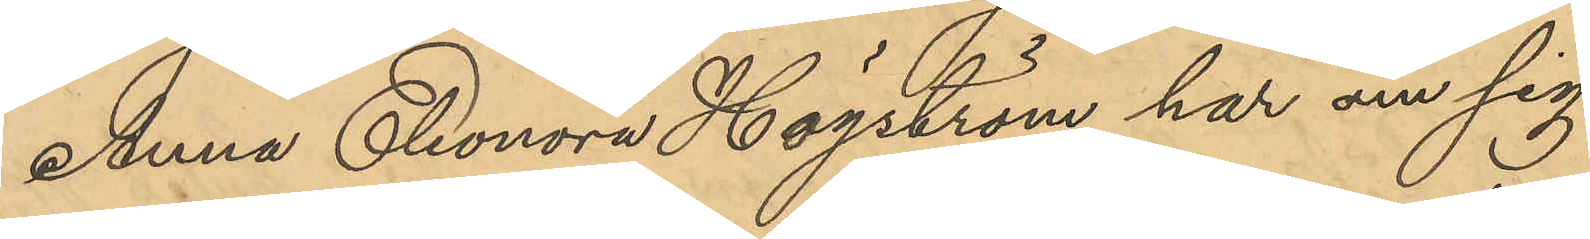Anna Eleonora Högström har om sig
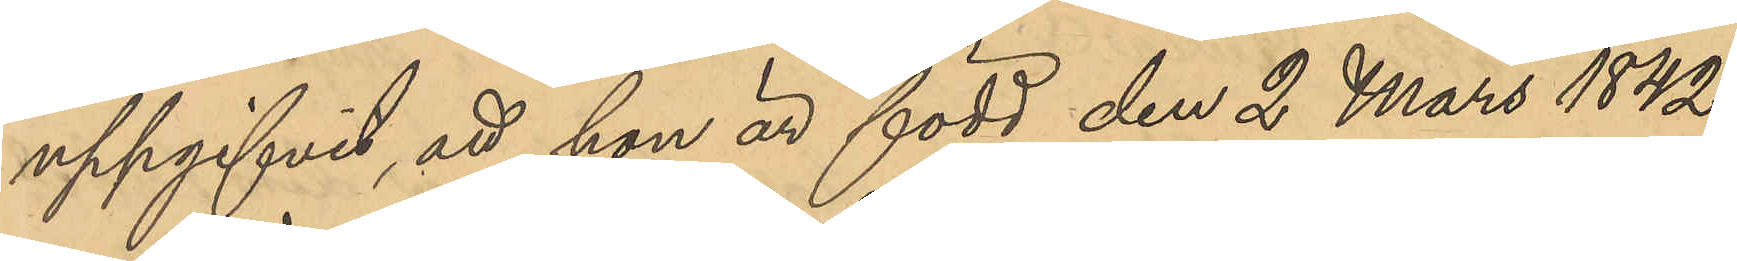uppgifvit, att hon är född den 2 Mars 1842
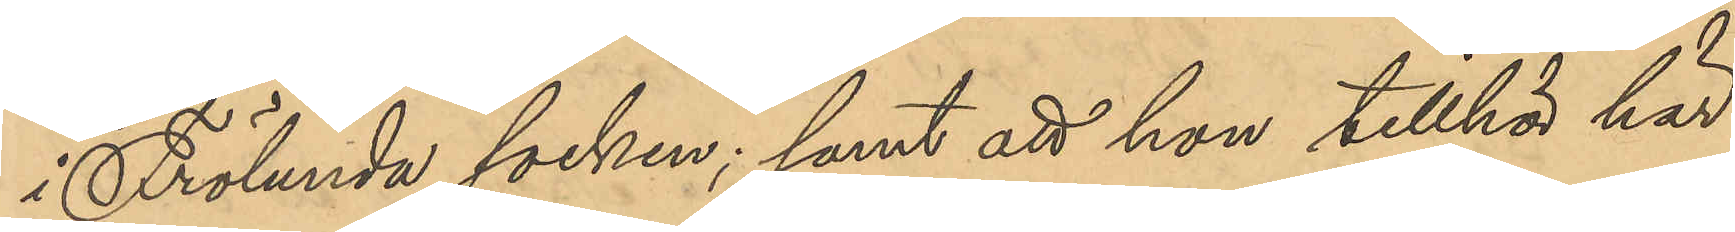i Frölunda socken; samt att hon tillhör här¬
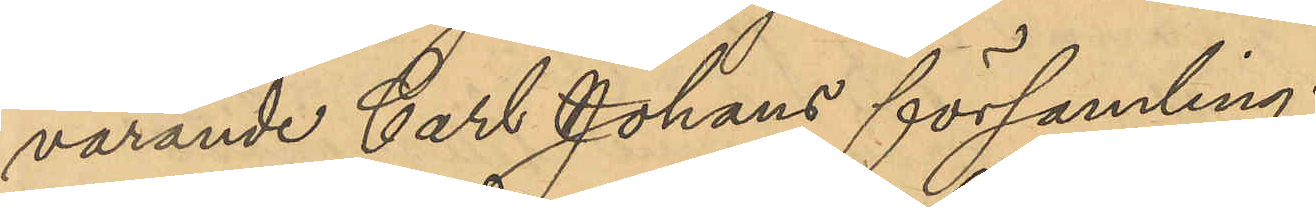varande Carl Johans församling.
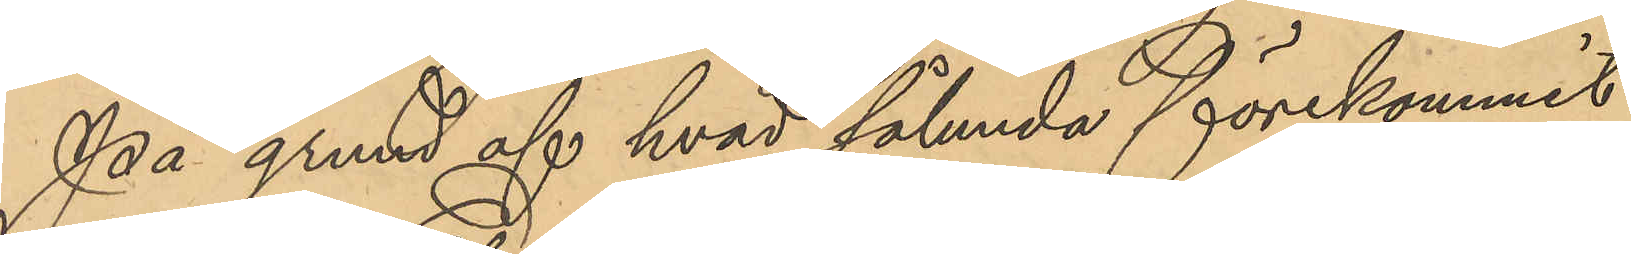På grund af hvad sålunda förekommit
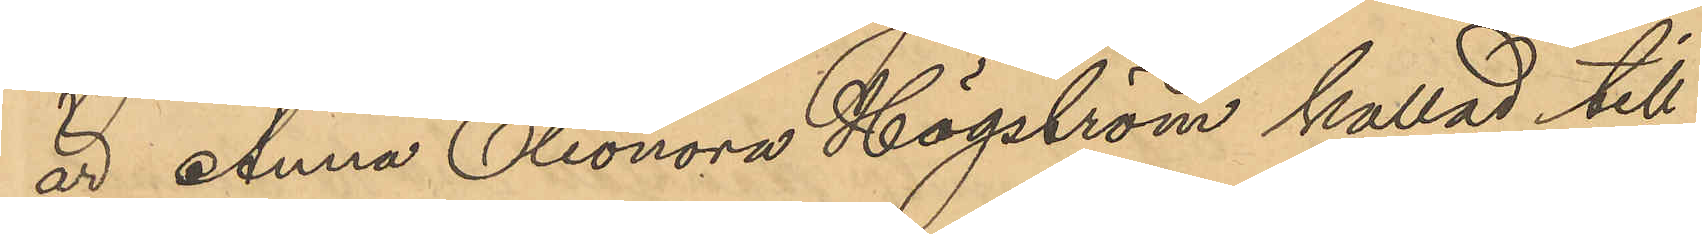är Anna Eleonora Högström kallad till
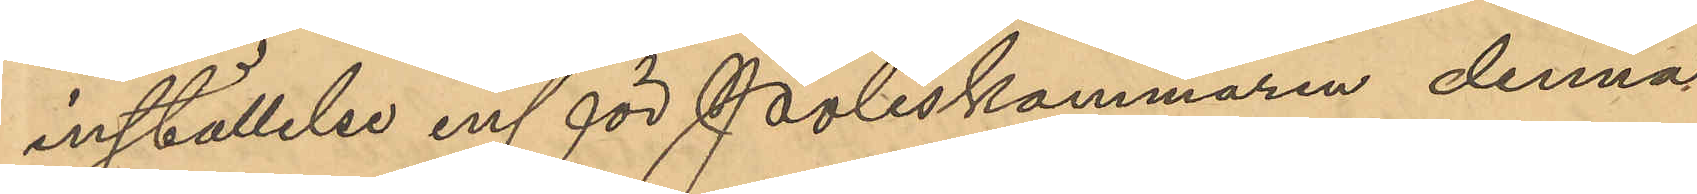inställelse inför Poliskammaren denna
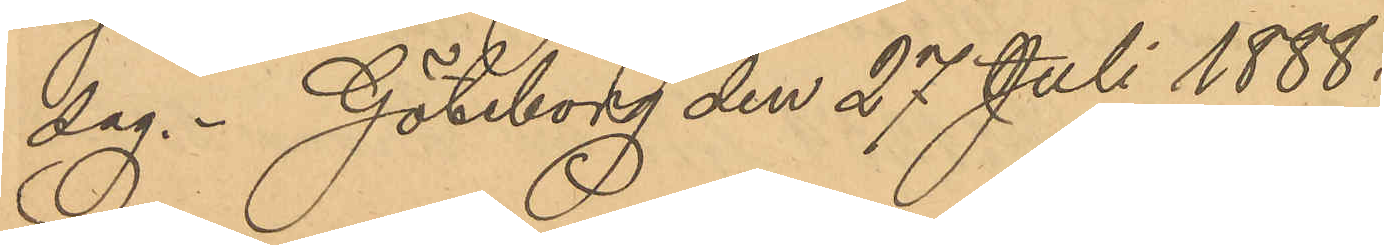dag. Göteborg den 27 Juli 1888.
